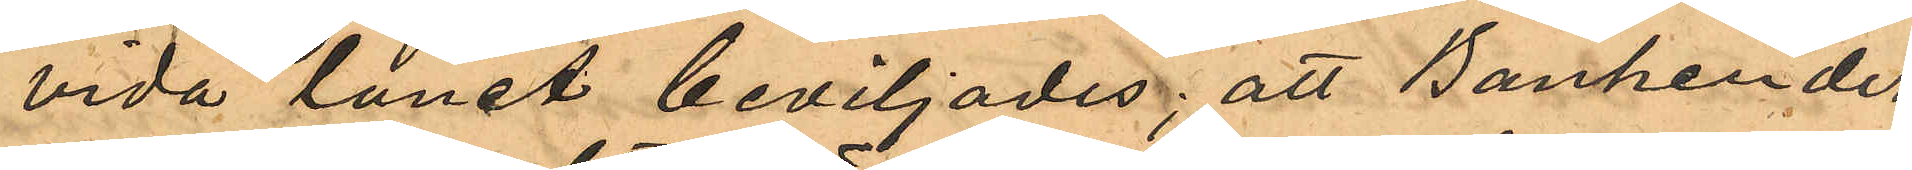vida lånet beviljades; att Banken der¬
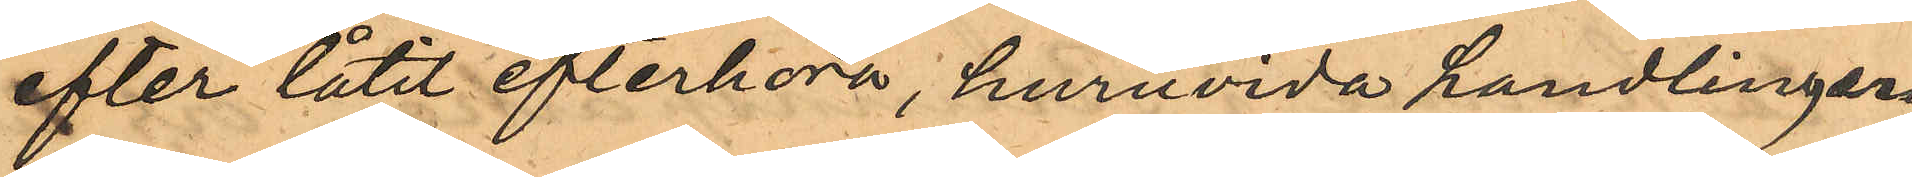efter låtit efterhöra, huruvida handlingen
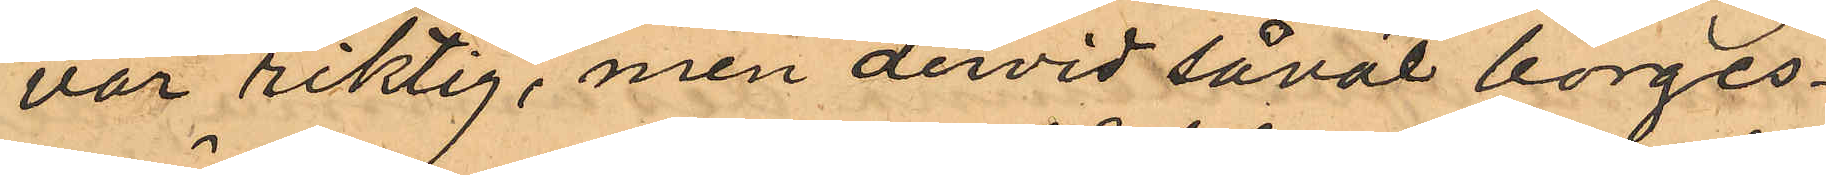var riktig, men dervid såväl borges¬
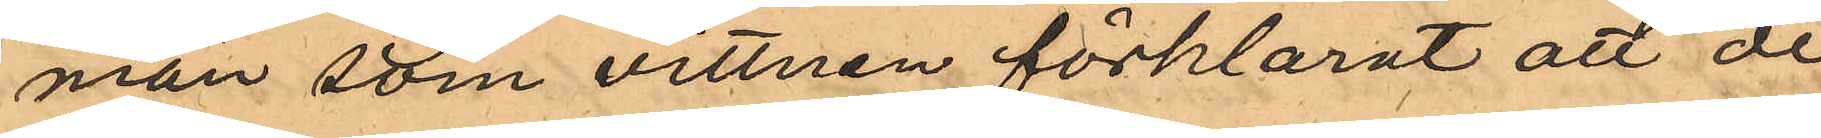män som vittnen förklarat att de
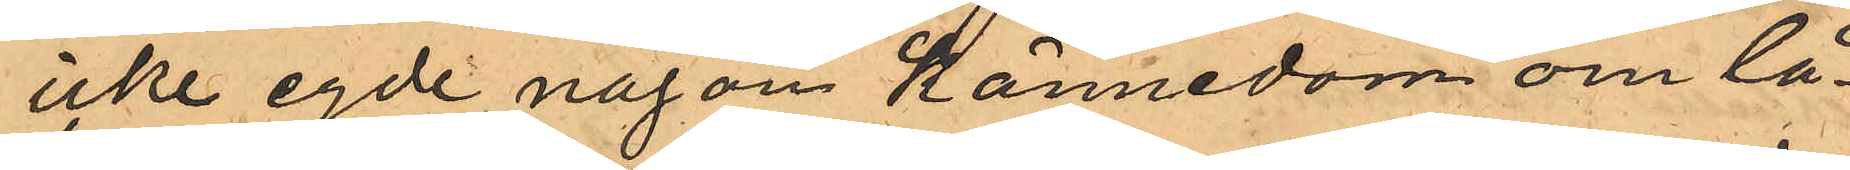icke egde någon kännedom om lå¬
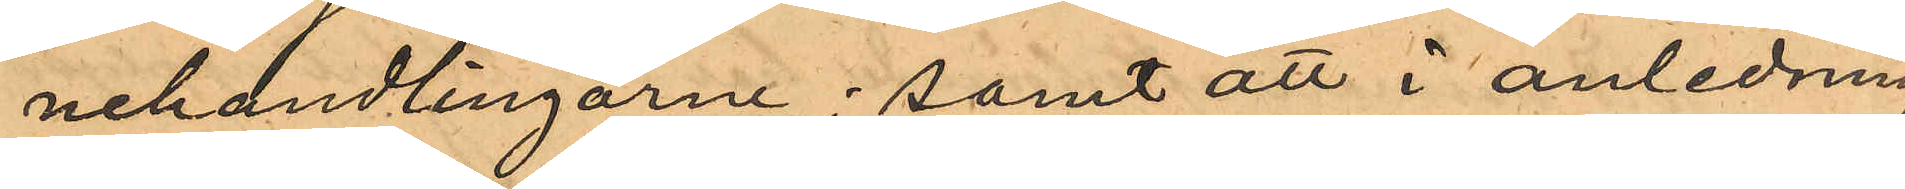nehandlingarne; samt att i anledning
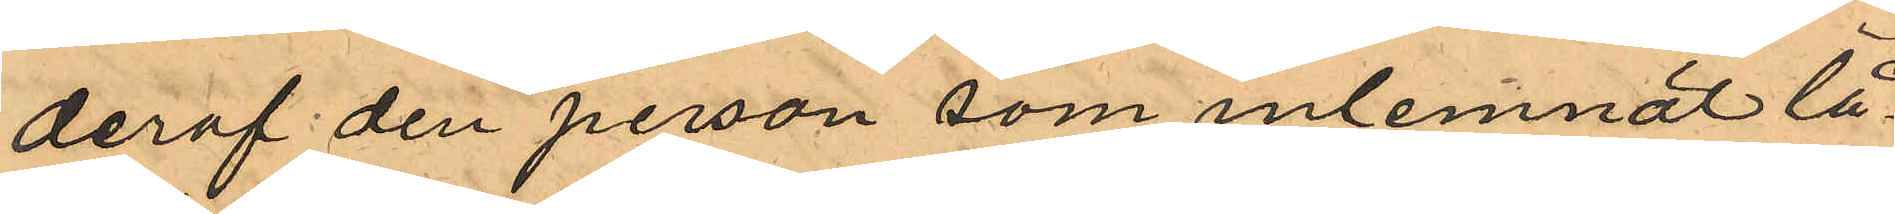deraf den person som inlemnat lå¬
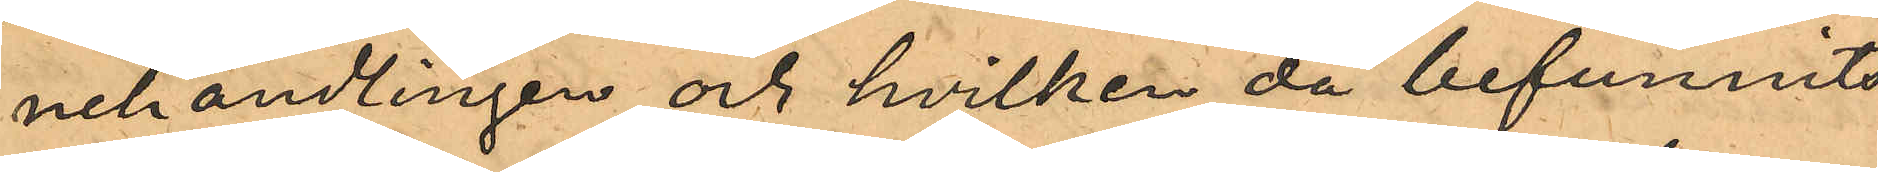nehandlingen och hvilken då befunnits
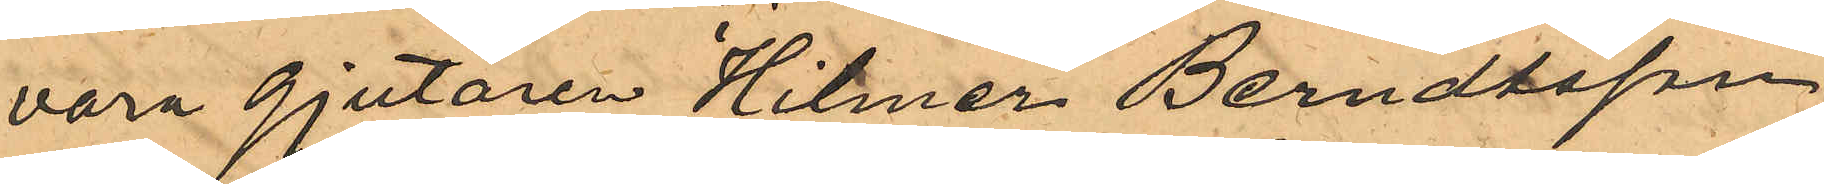vara gjutaren Hilmer Berndtsson,
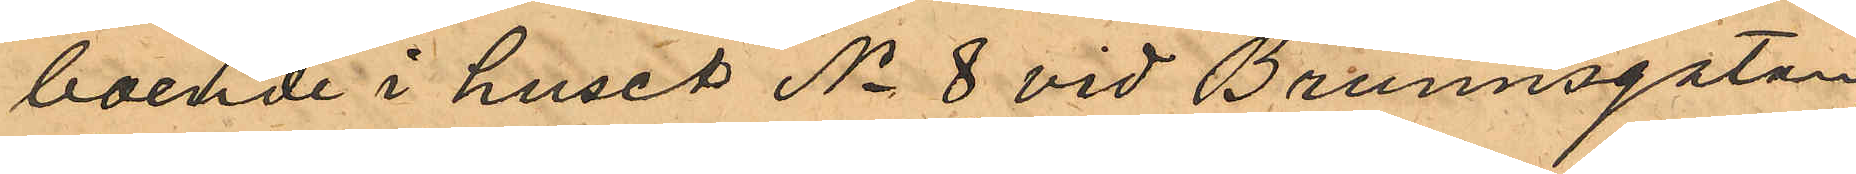boende i huset No 8 vid Brunnsgatan,
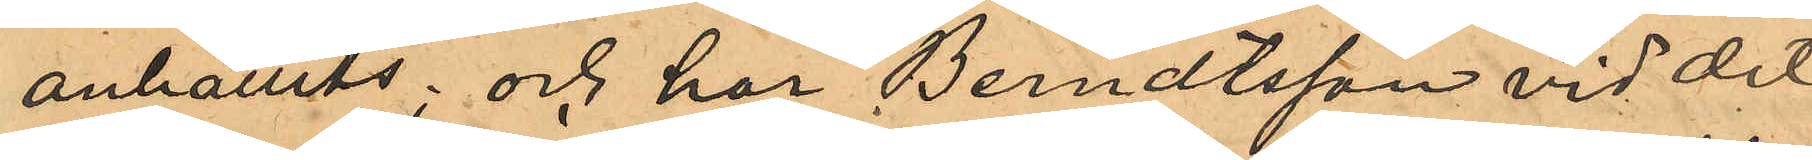anhållits; och har Berndtsson vid dit
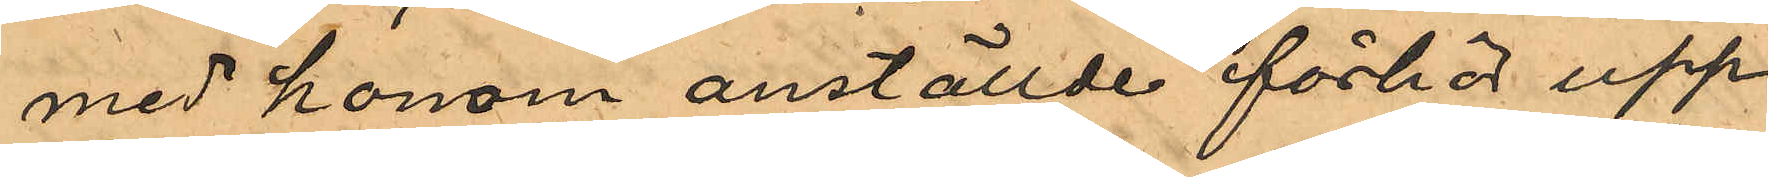med honom anställde förhör upp¬
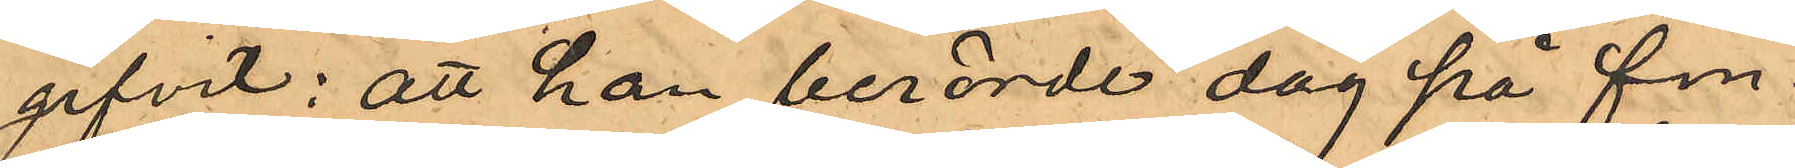gifvit: att han berörde dag på fm.
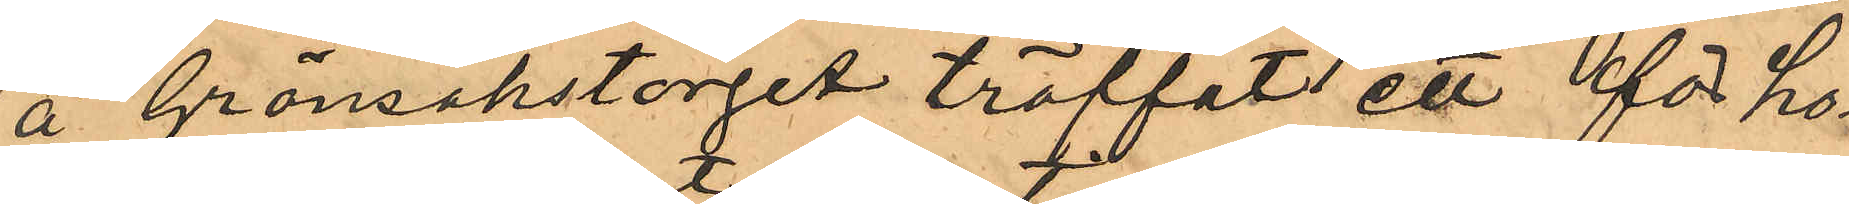å Grönsakstorget träffat ett för ho¬
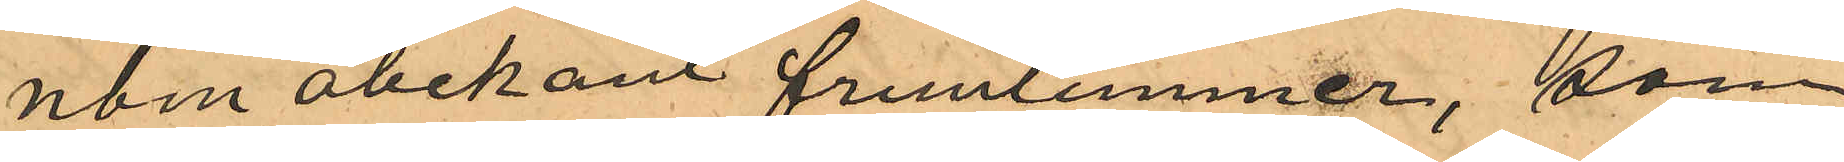nom obekant fruntimmer, som
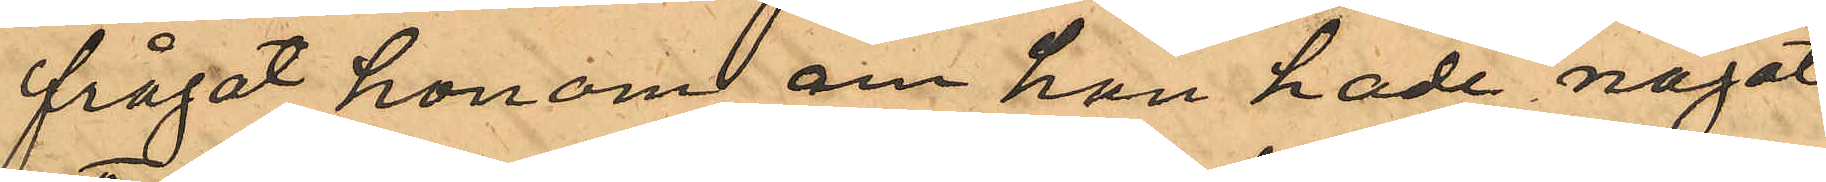frågat honom om han hade något
